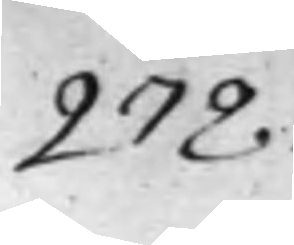278.
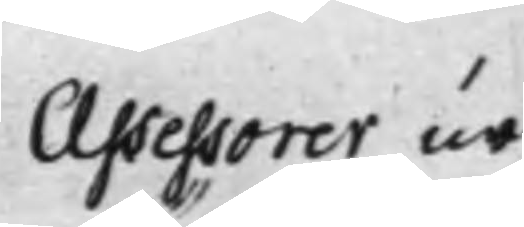Assessorer ur¬
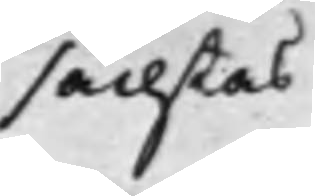sächtas
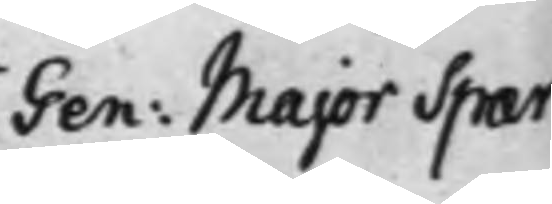Gen. Major Spar¬
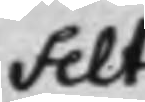felt
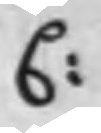C:
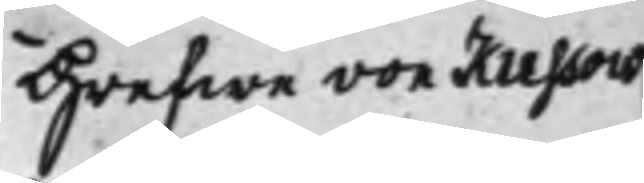Grefwe von Kussou
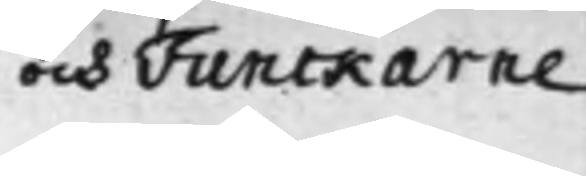och Funckarne
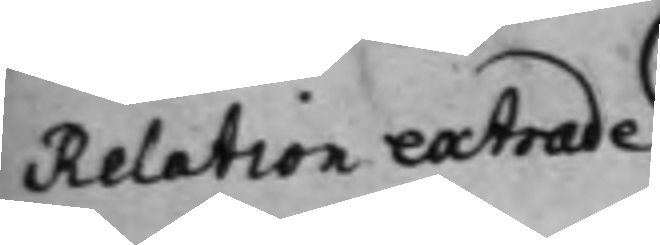Relation extrade¬
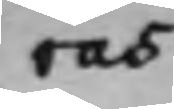ras
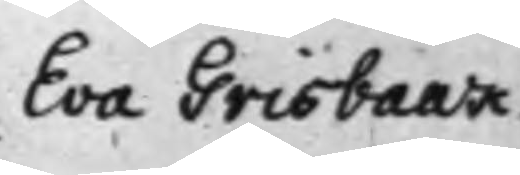Eva Grisbaak
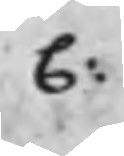C:
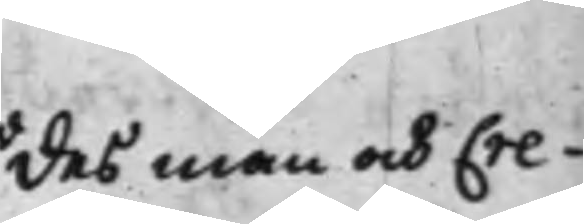des man och Cre¬
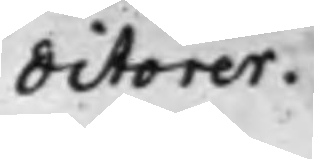ditorer.
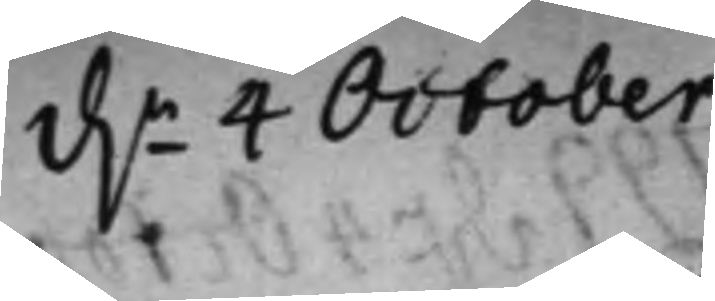d.n 4 October
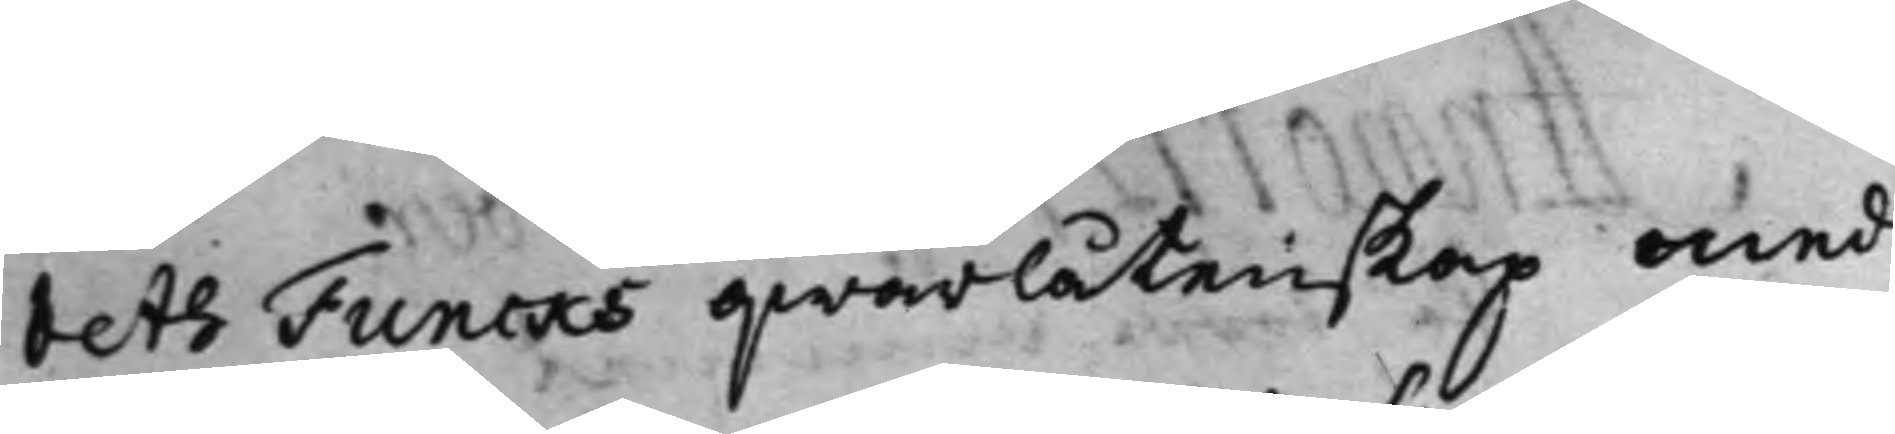beth Funcks qwarlåtenskap med
